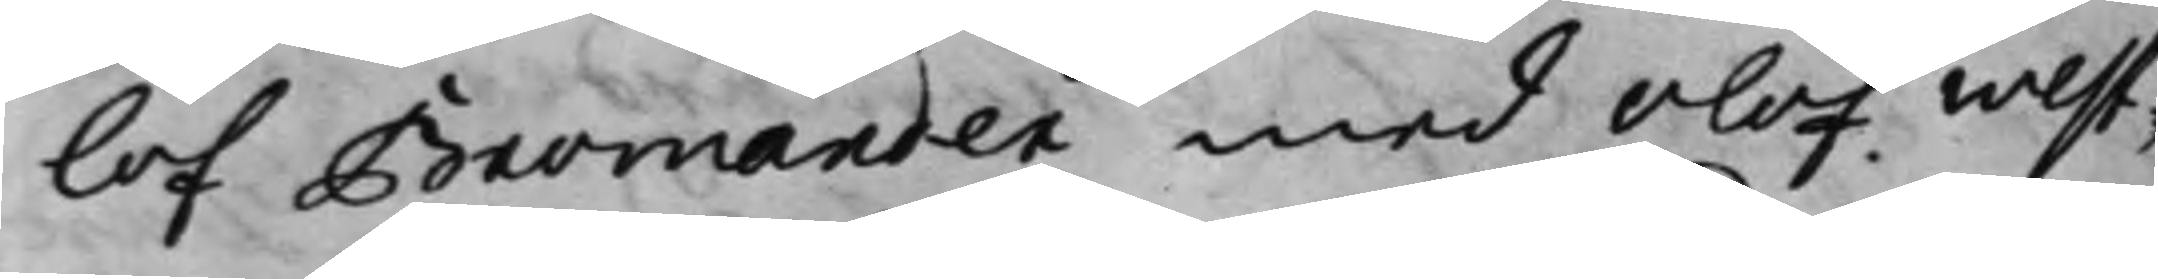lof Bromander med Olof West¬
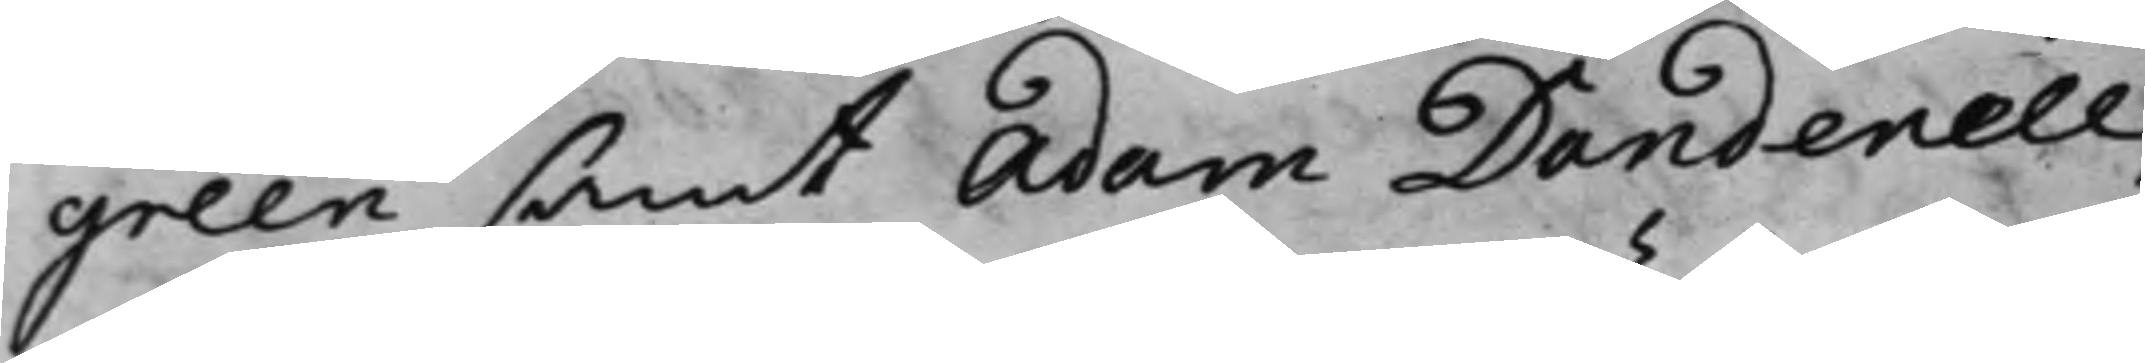green samt Adam Dandenell,
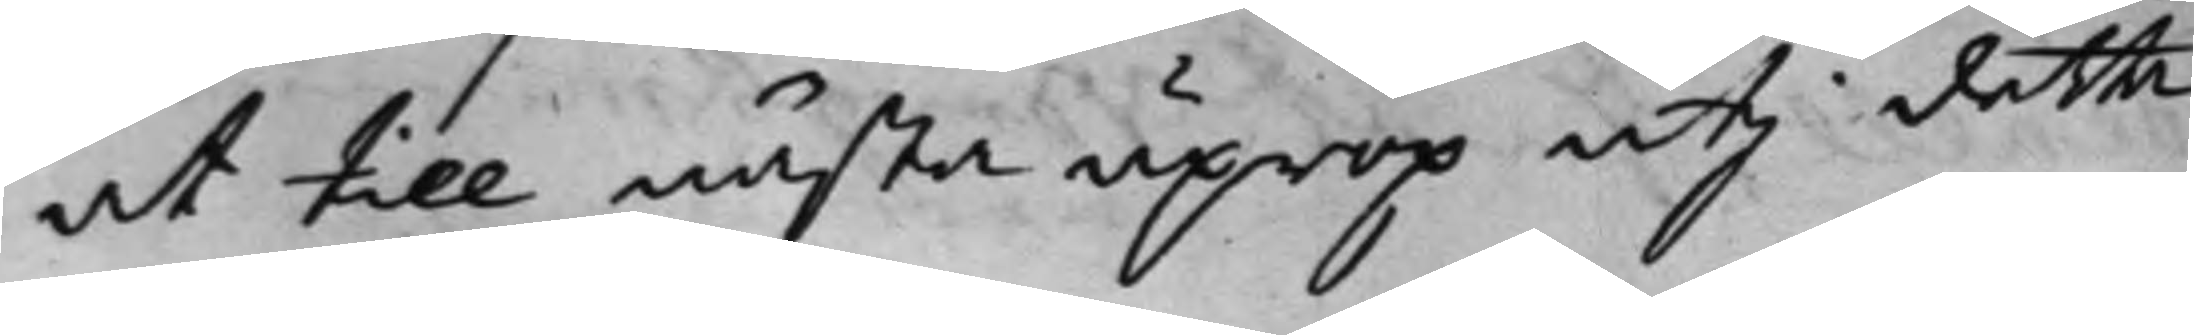at till nästa uprop uti detta
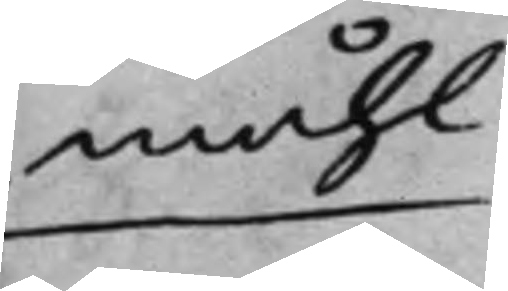måhl
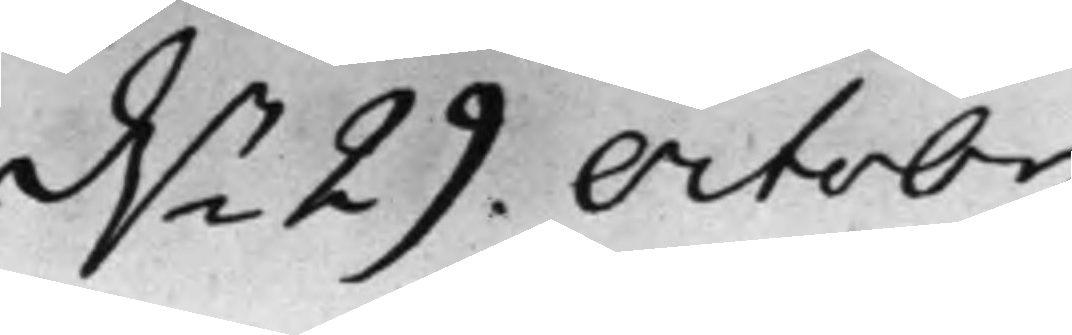d.n 29. Octobr
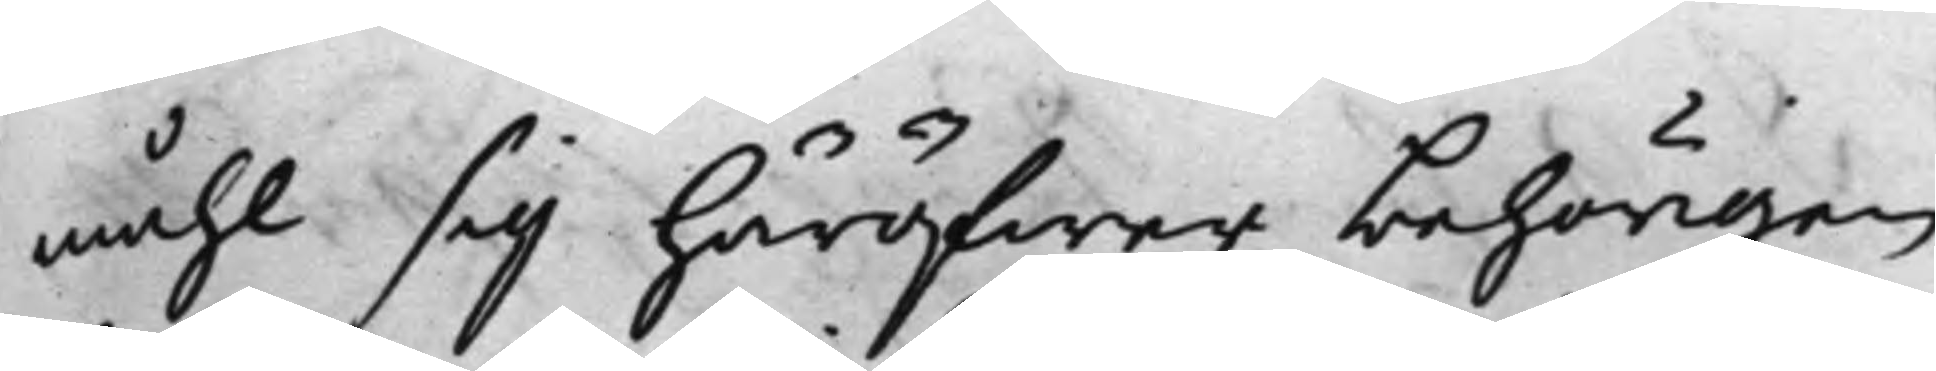måhl sig häröfwer behörigen
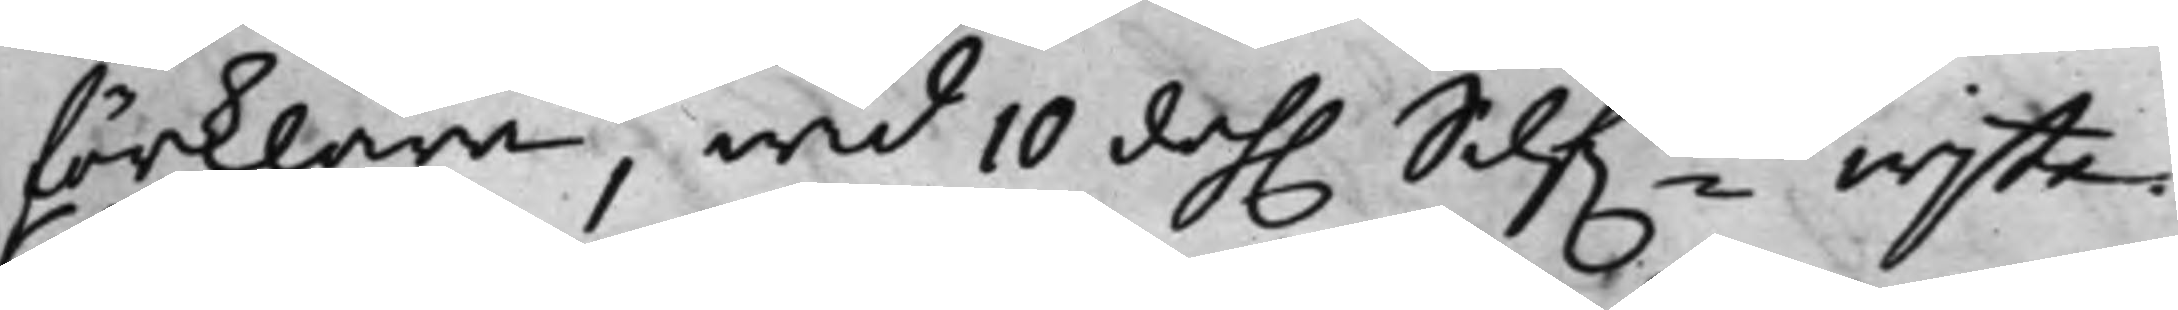förklara, wid 10 dah. Silfts wijte.
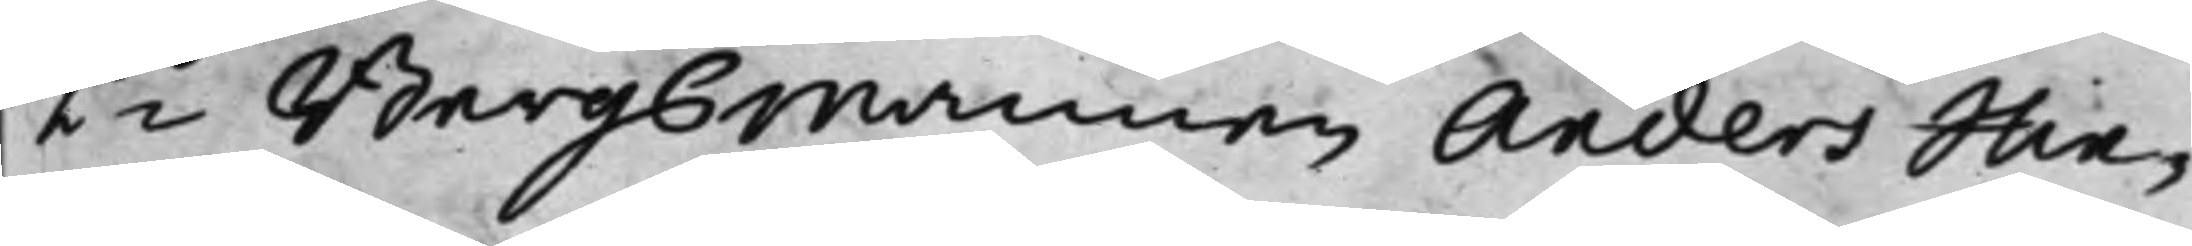2do Bergsmannen Anders Hin¬
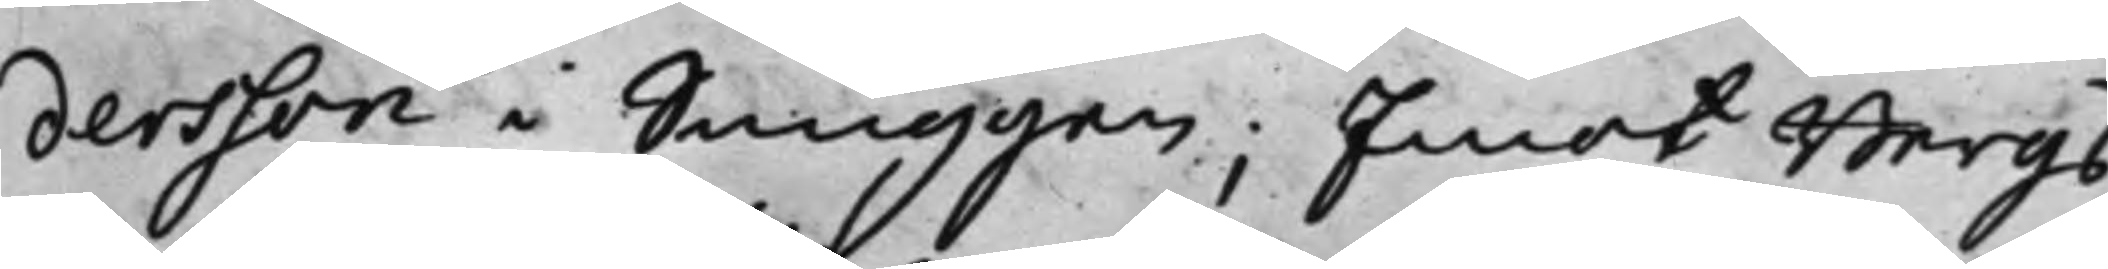dersson i Snuggen; Emot Bergs¬
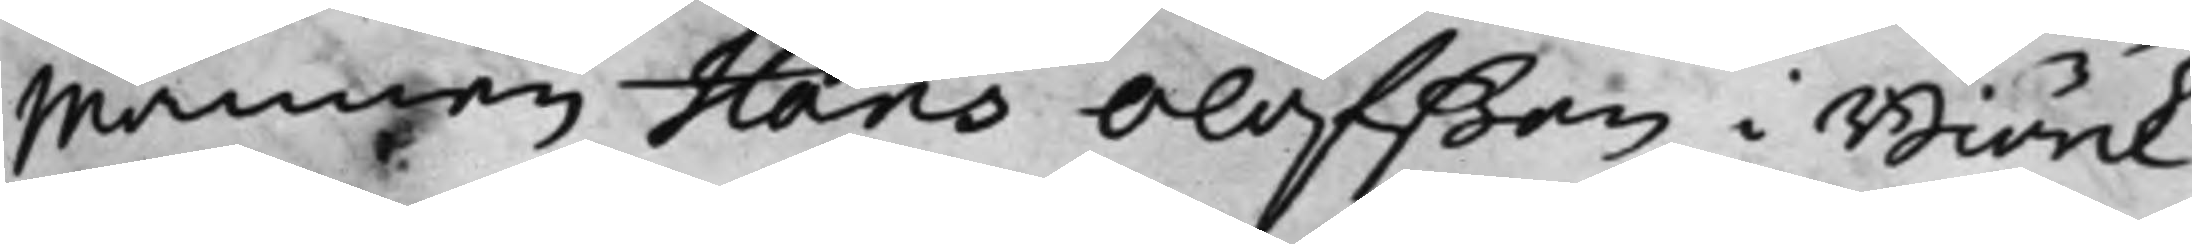mannen Hans Olofßon i Biörk¬
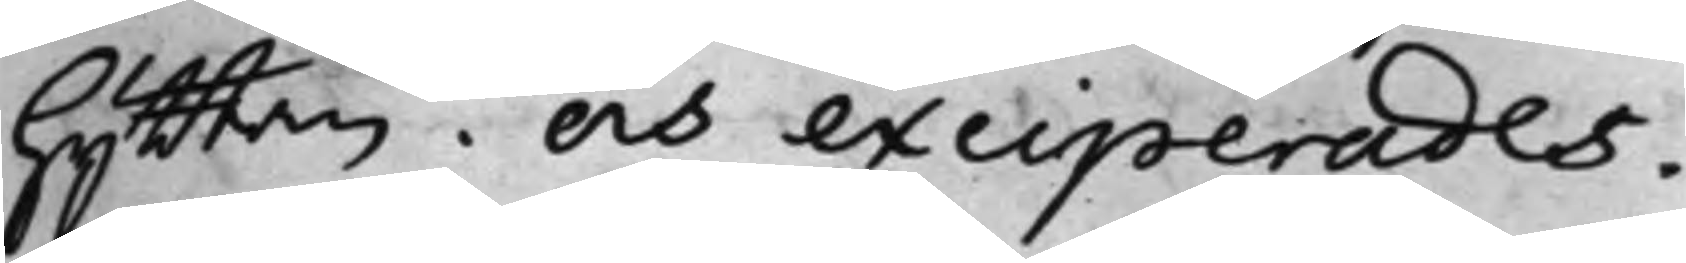hyttan. och exciperades.
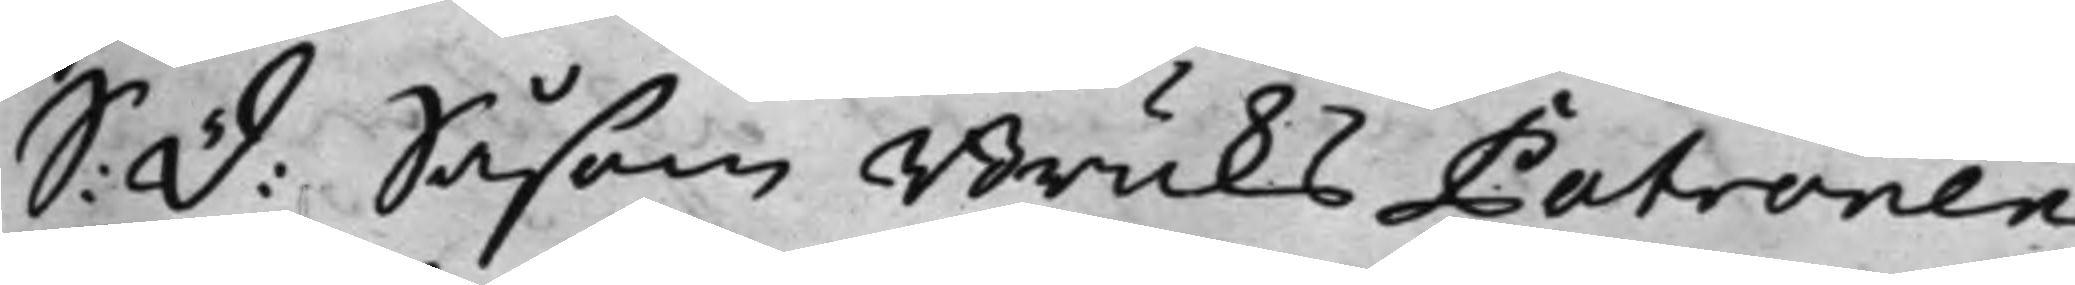S: D: Såsom BruksPatronen
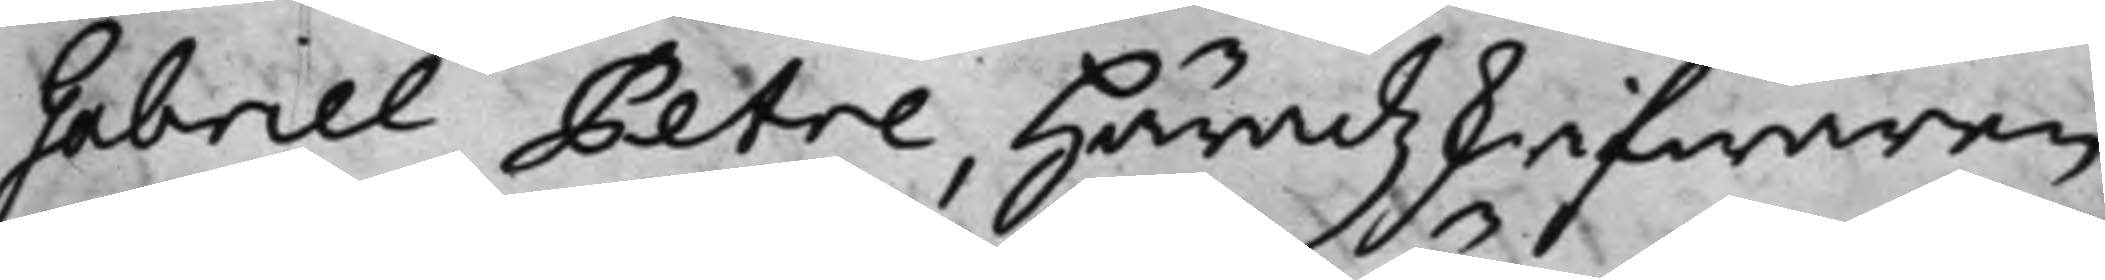Gabriel Petre, Häradzkrifwaren
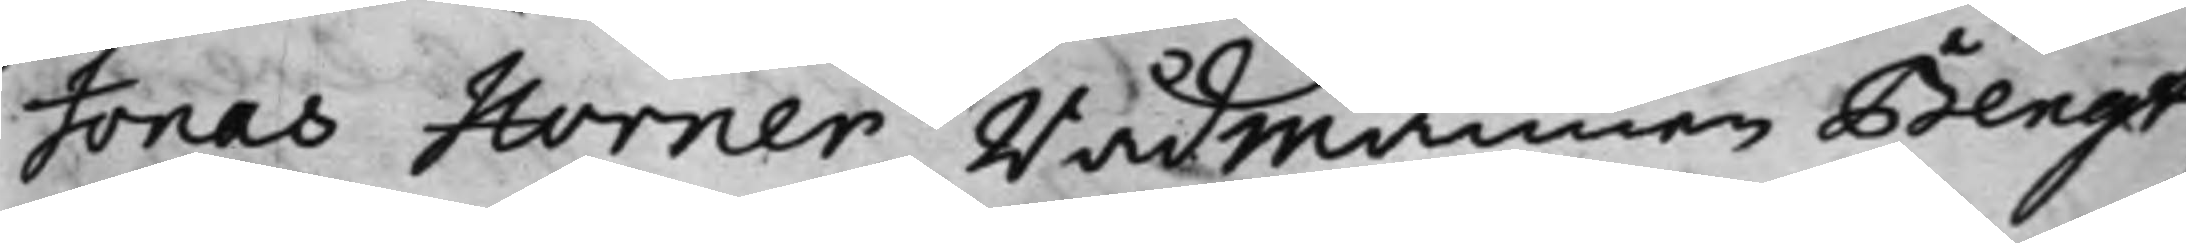Jonas Horner Rådmannen Bengt
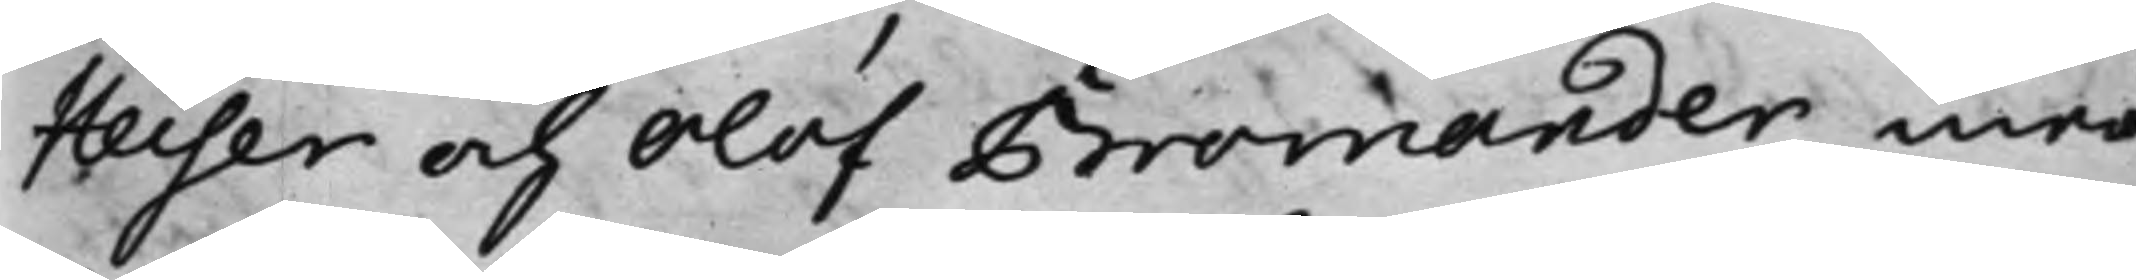Heiser och Olof Bromander, med
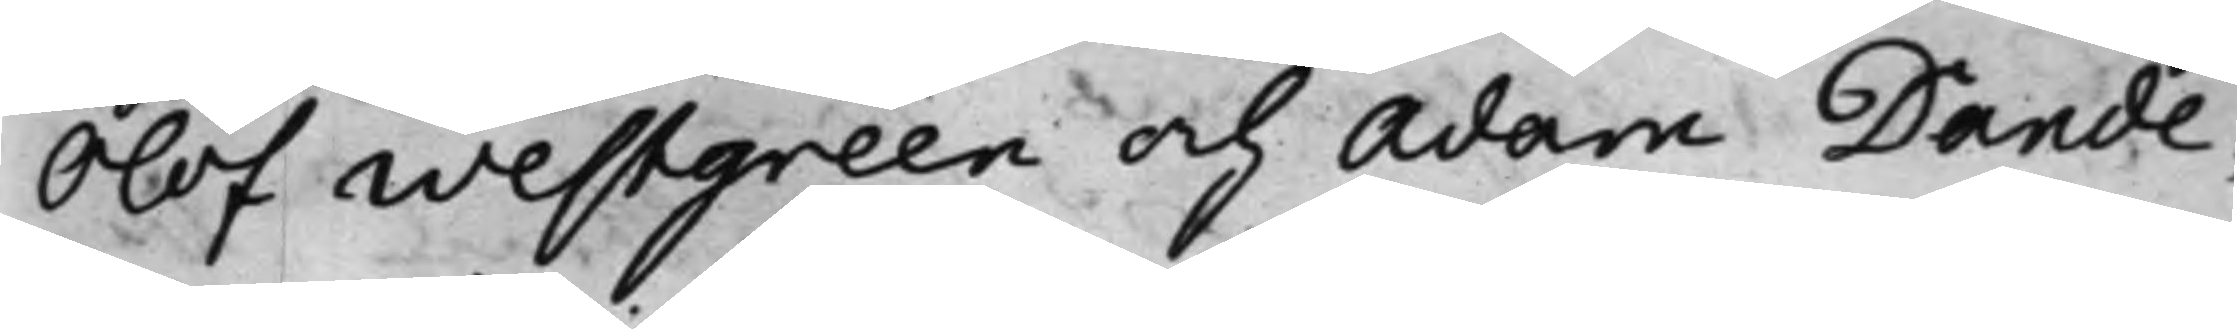Olof Westgreen och Adam Dande¬
